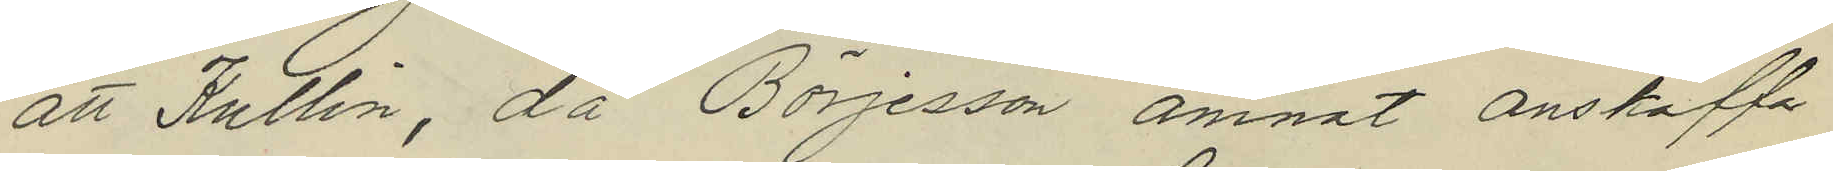att Kullin, då Börjesson ämnat anskaffa
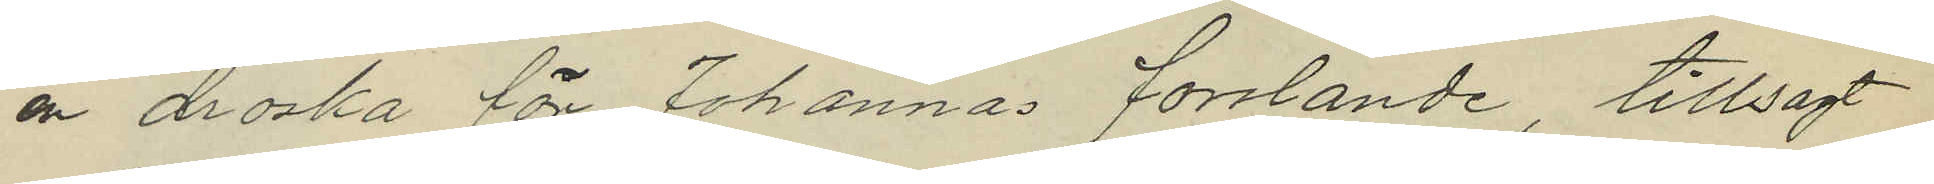en droska för Johannas forslande, tillsagt
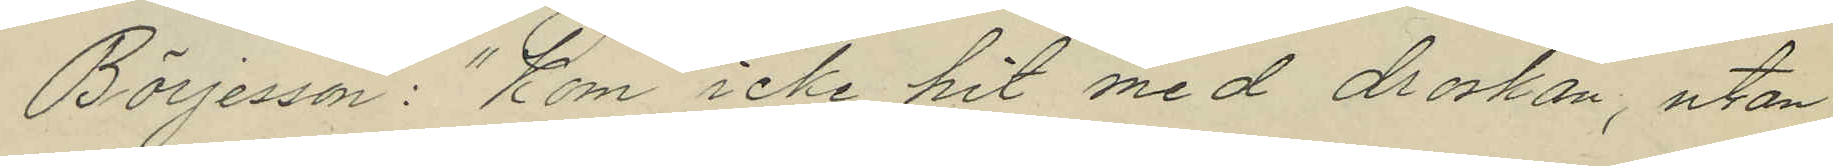Börjesson: "Kom icke hit med droskan, utan
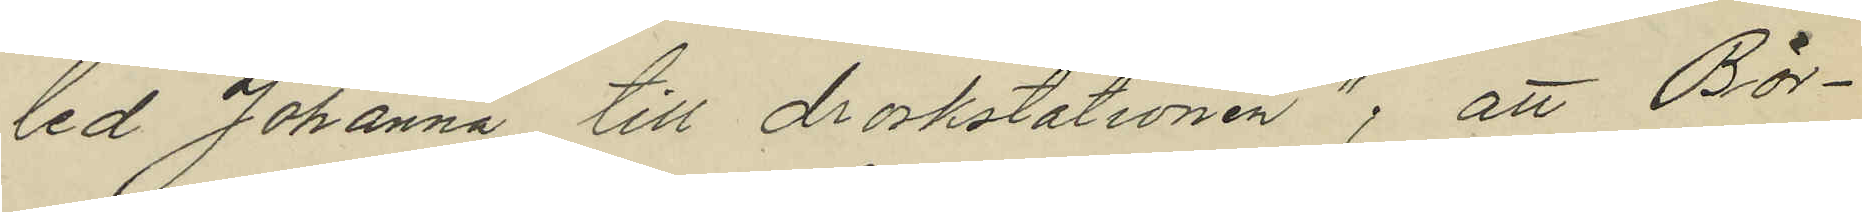led Johanna till droskstationen"; att Bör¬
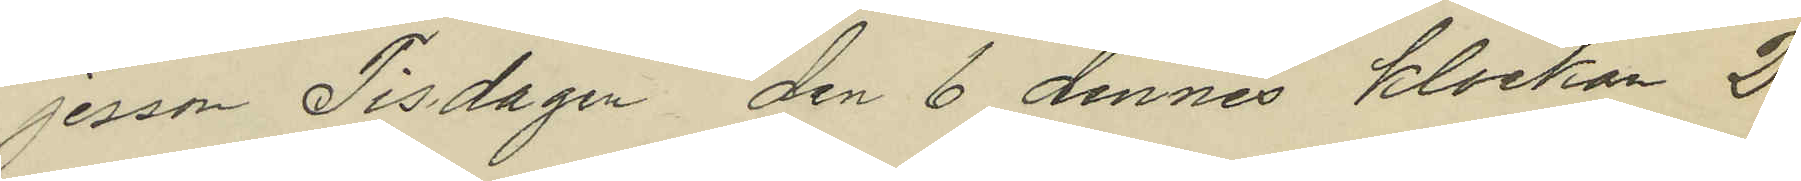jesson Tisdagen den 6 dennes klockan 2
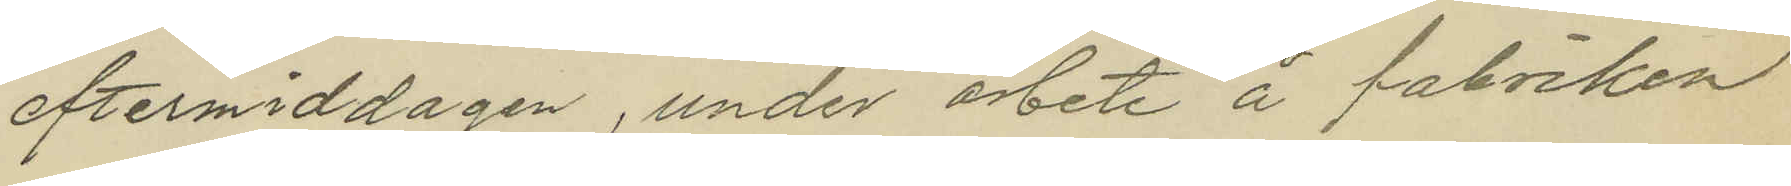eftermiddagen, under arbete å fabriken
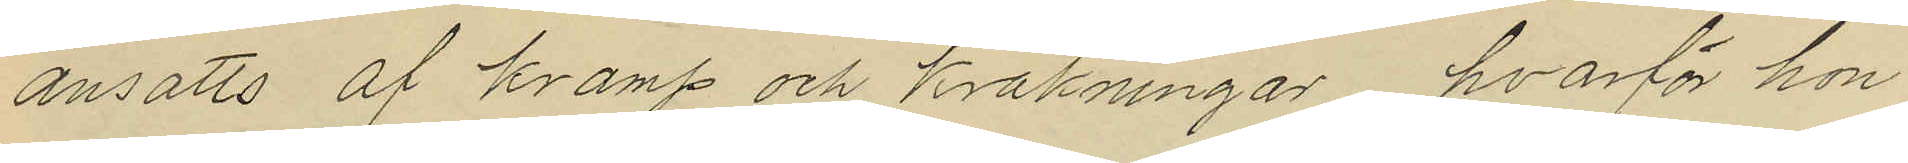ansatts af kramp och kräkningar, hvarför hon
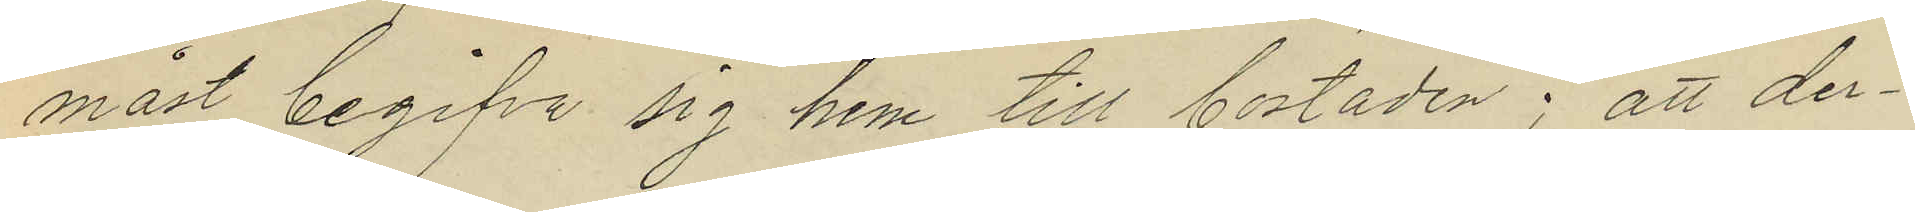måst begifva sig hem till bostaden; att der¬
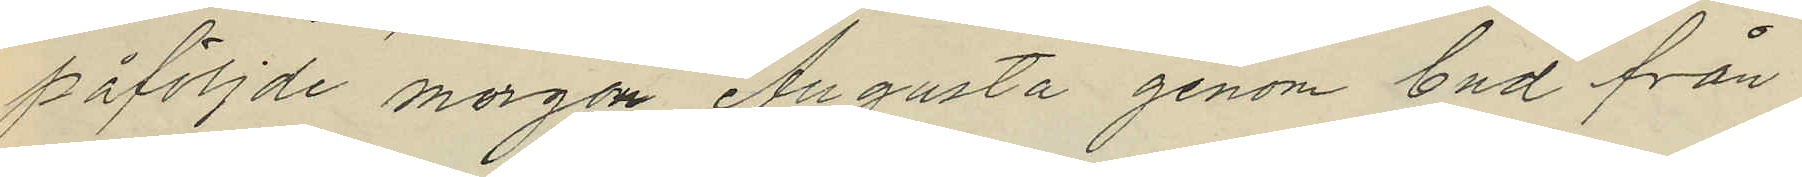påföljde morgon Augusta genom bud från
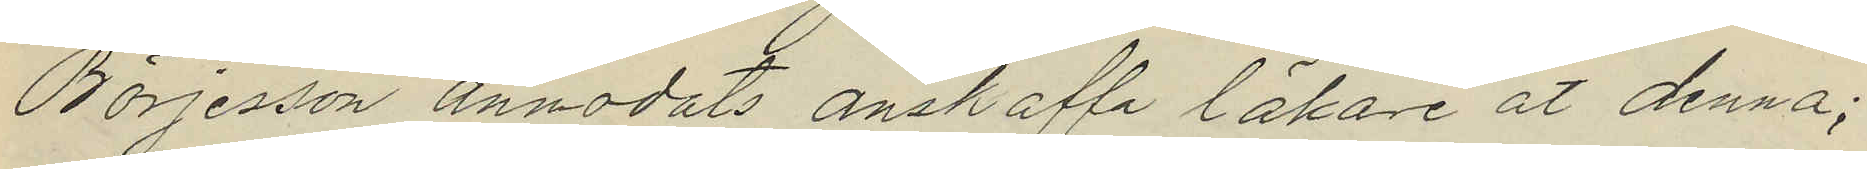Börjesson anmodats anskaffa läkare åt denna;
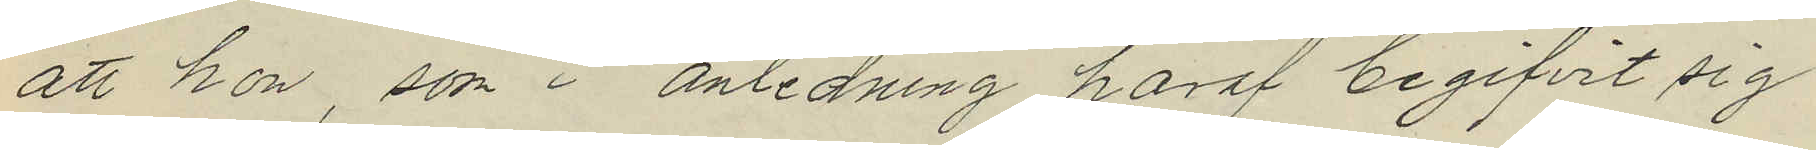att hon, som i anledning häraf begifvit sig
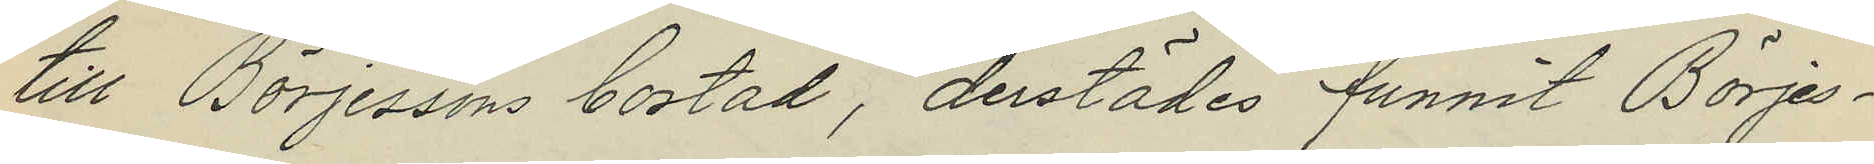till Börjessons bostad, derstädes funnit Börjes¬
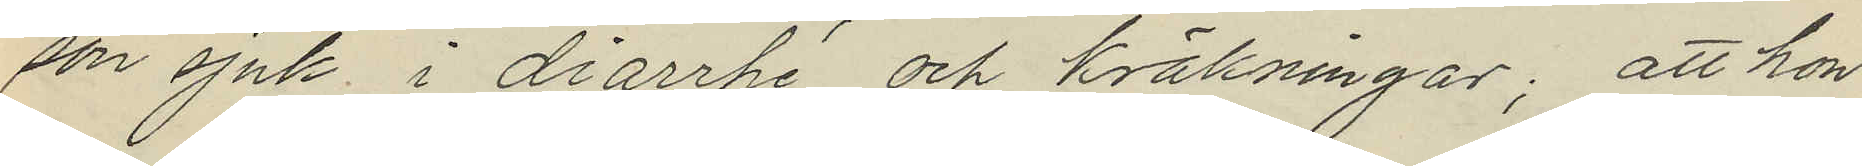son sjuk i diarrhé och kräkningar; att hon
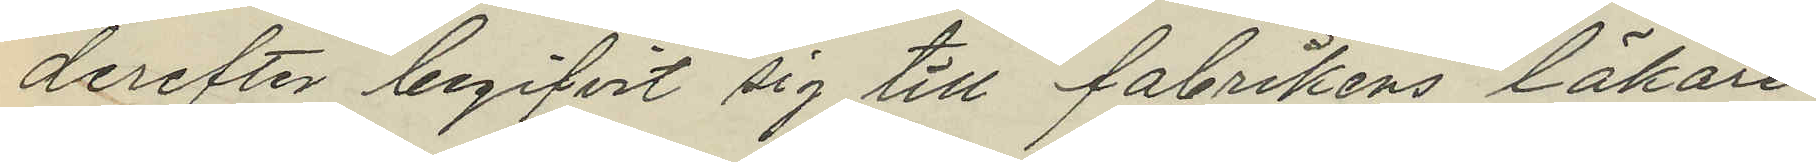derefter begifvit sig till fabrikens läkare
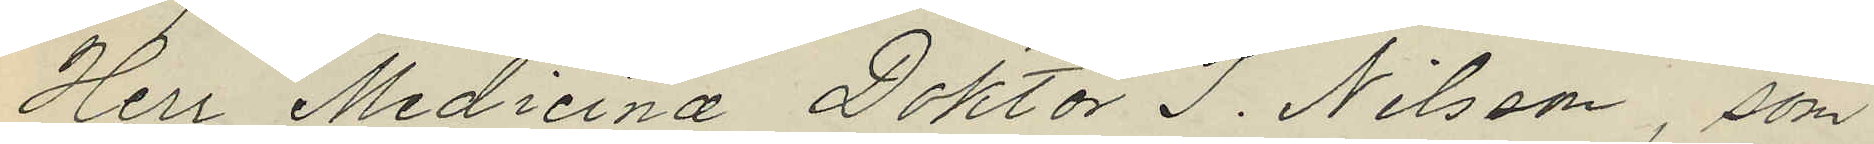Herr Medicinæ Doktor J. Nilsson, som
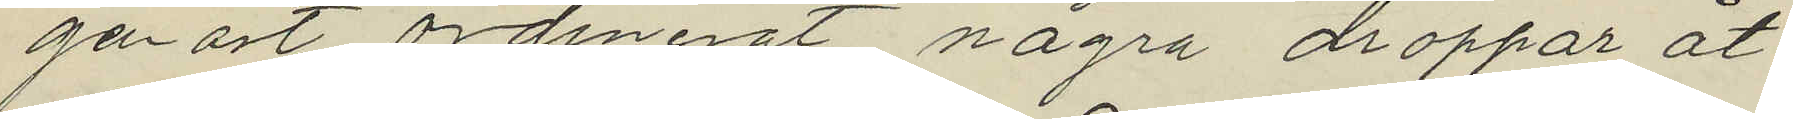genast ordinerat några droppar åt
